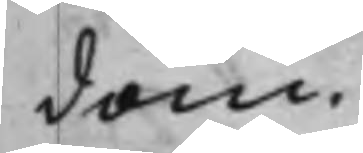dom.
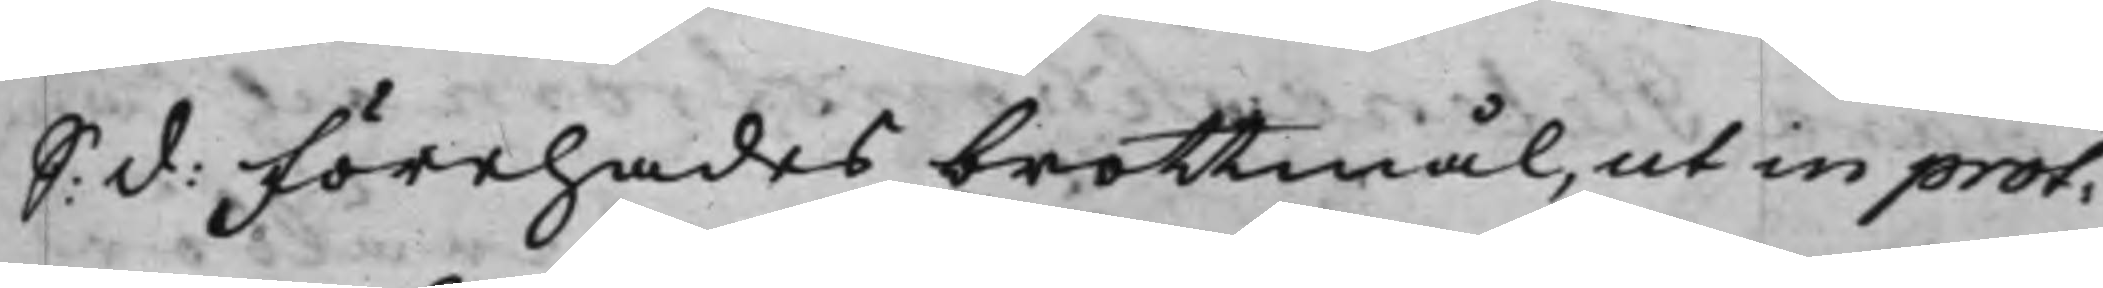S: d: Förehades brottmål, ut in prot:
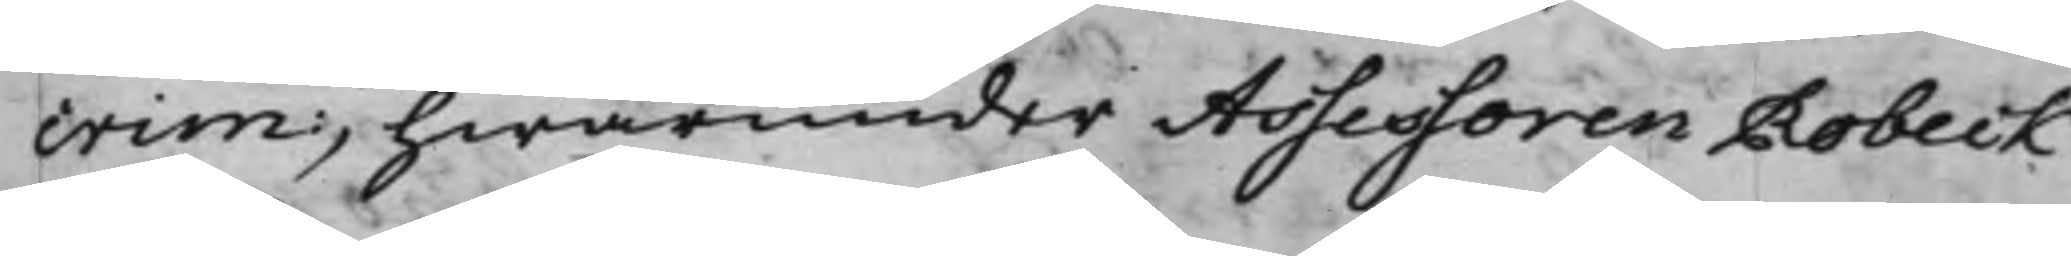crim:, hwarunder Assessoren Robeck
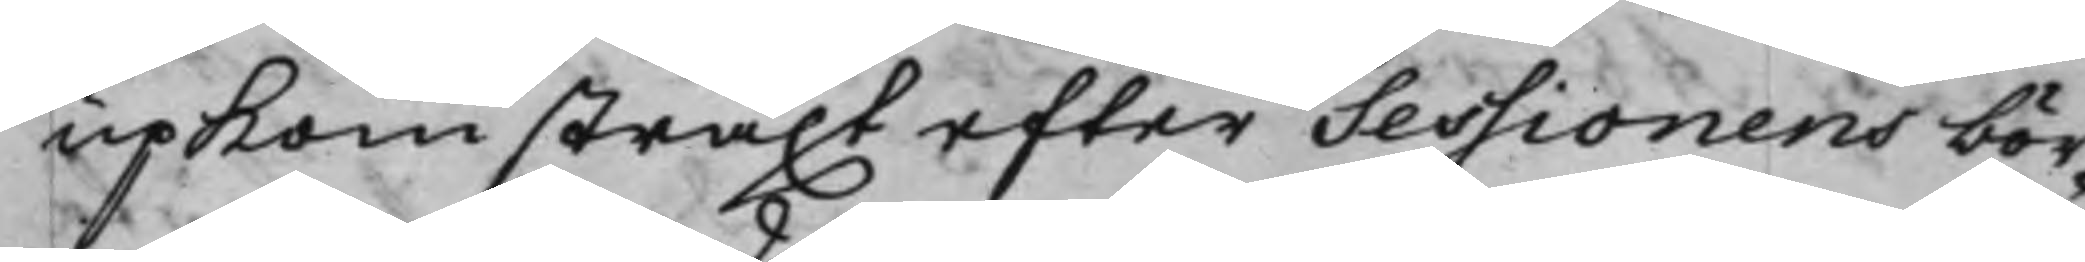upkom straxt efter Sessionens bör¬
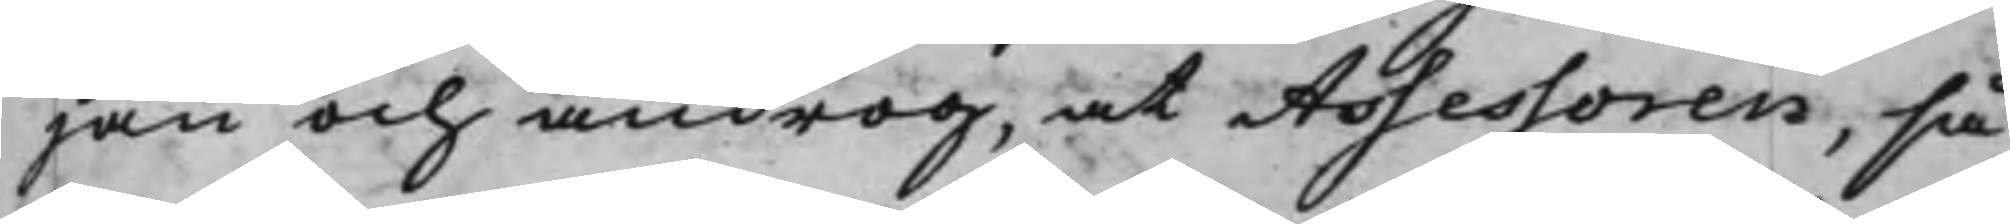jan och androg, at Assessoren, så
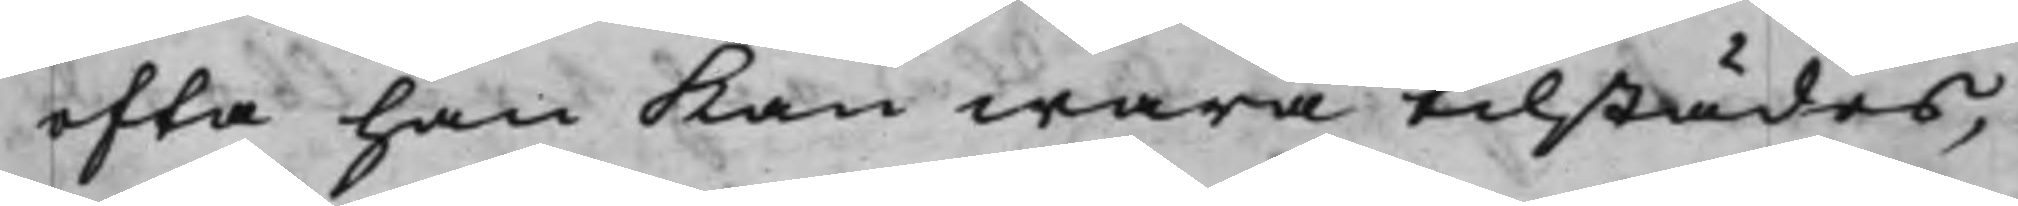ofta han kan wara tilstädes,
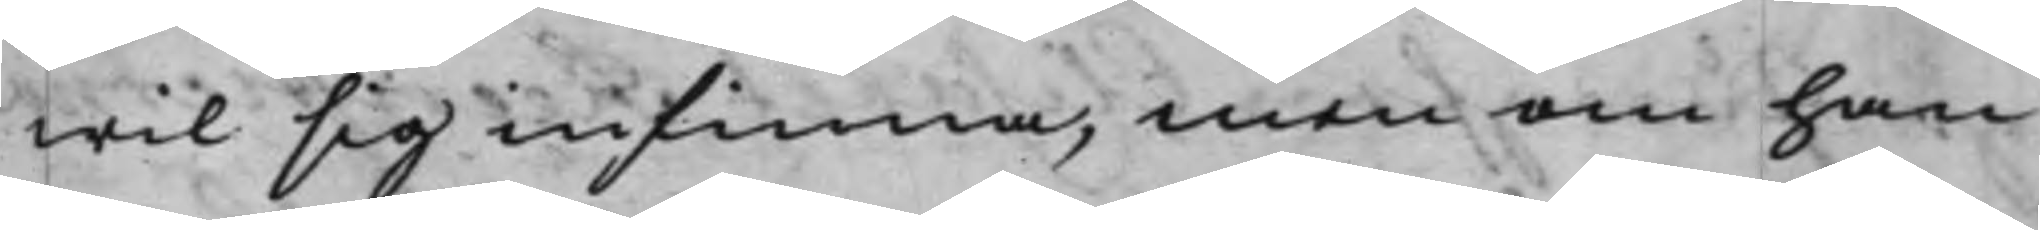wil sig infinna, men om han
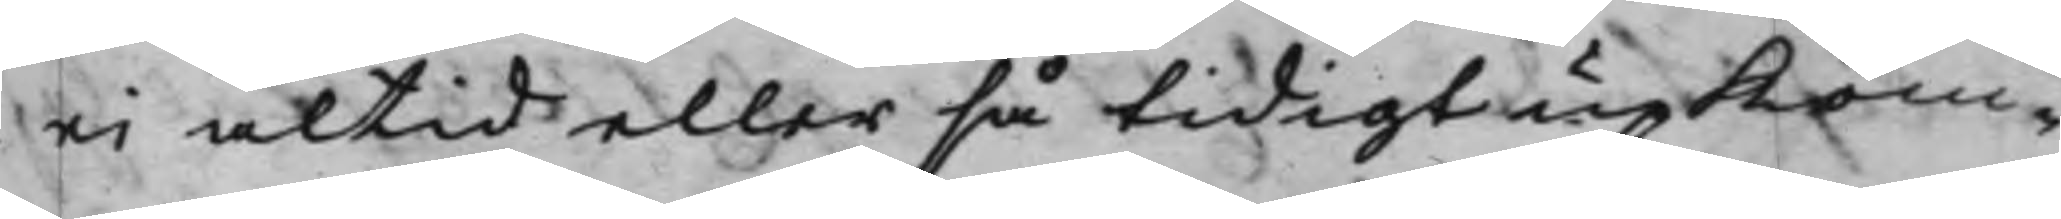ei altid eller så tidigt upkom¬
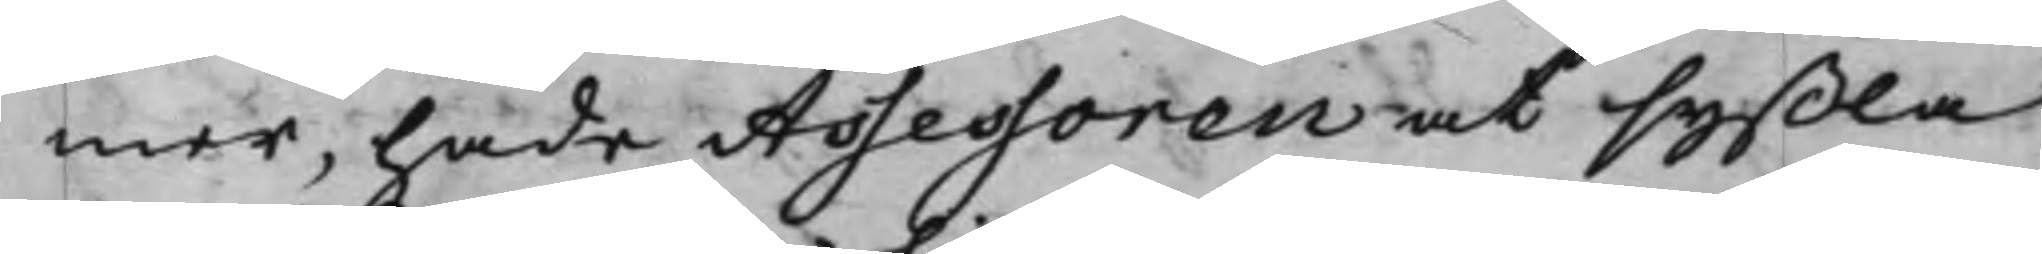mer, hade Assessoren at syßla
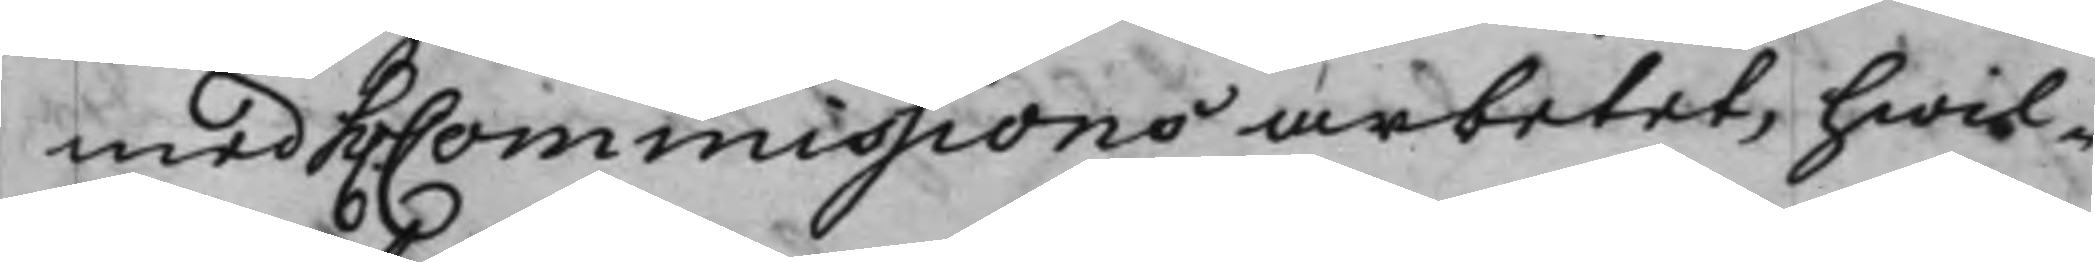med h. Commissions arbetet, hwil¬
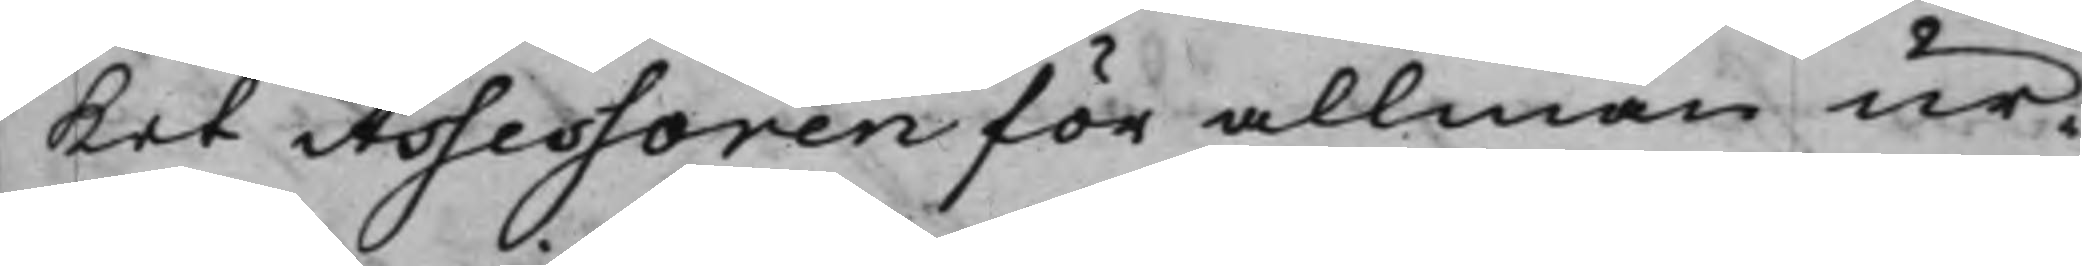ket Assessoren för allmän ur¬
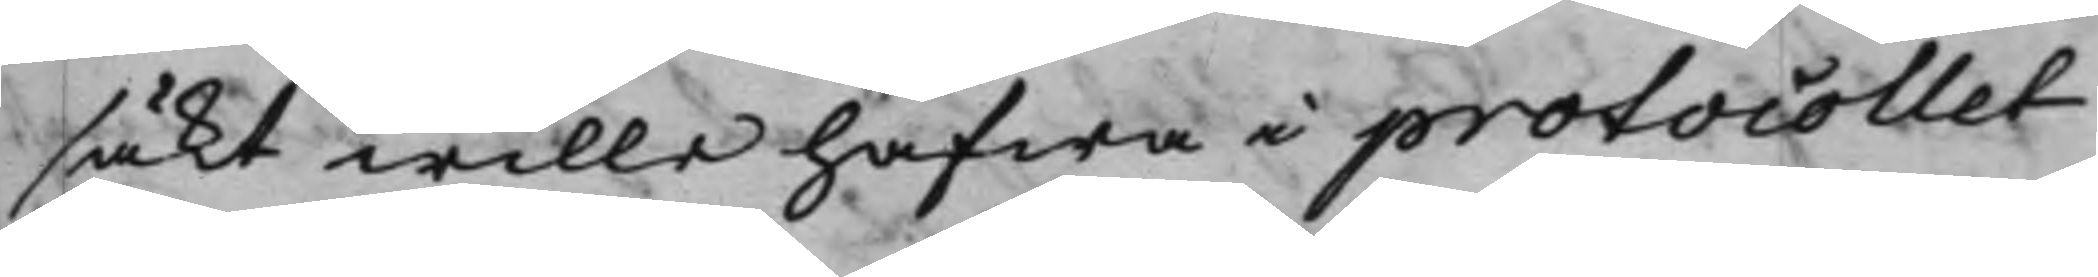säkt wille hafwa i protocollet
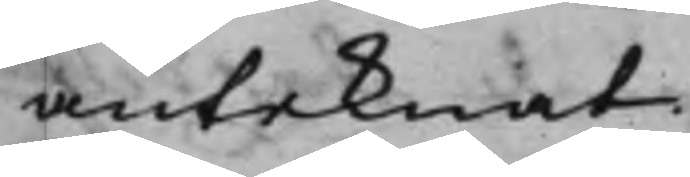anteknat.
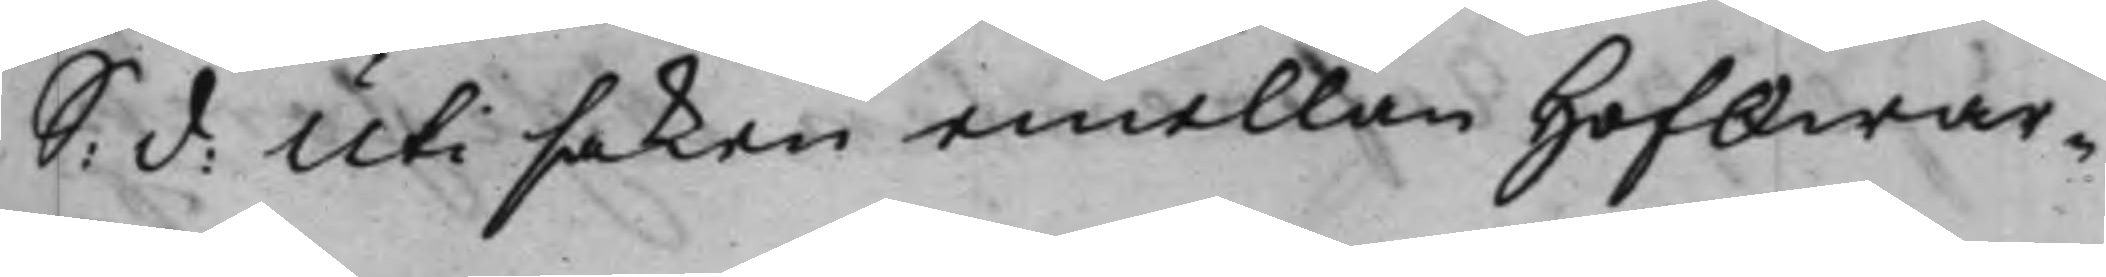S: d: Uti saken emellan HofQwar¬
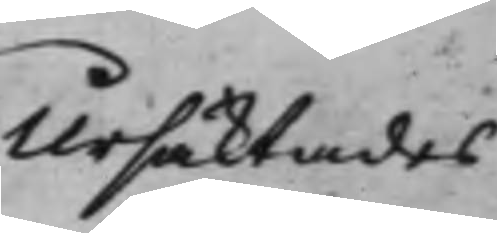Ursäktades
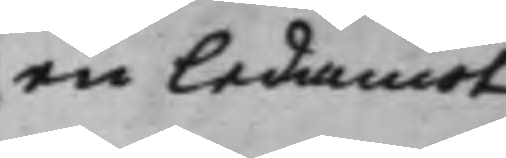en ledamot
